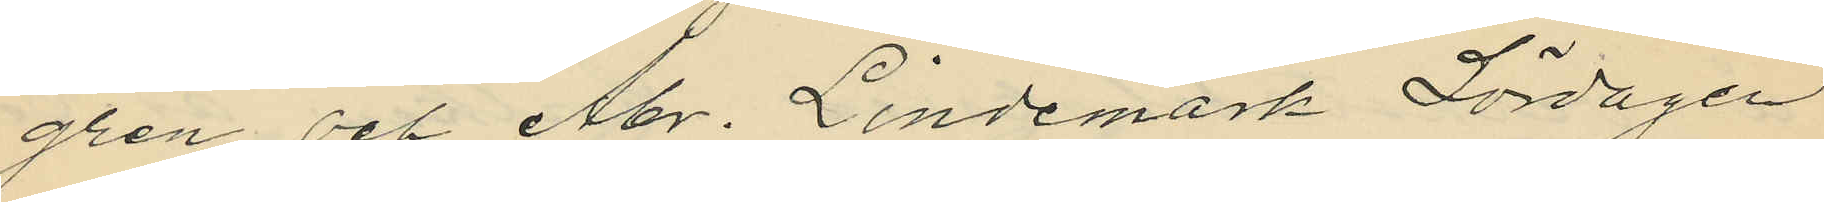gren och Abr. Lindemark Lördagen
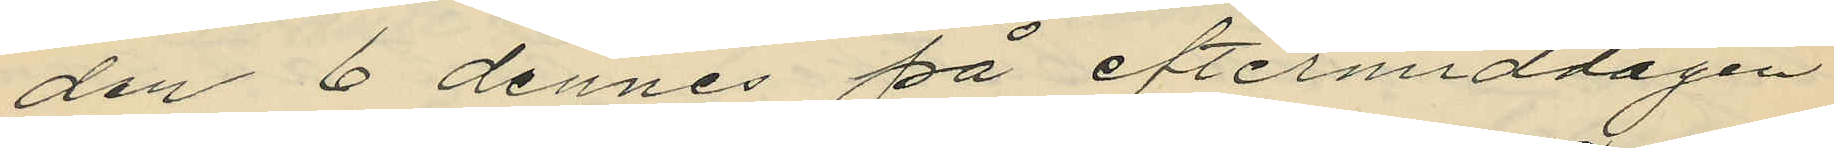den 6 dennes på eftermiddagen
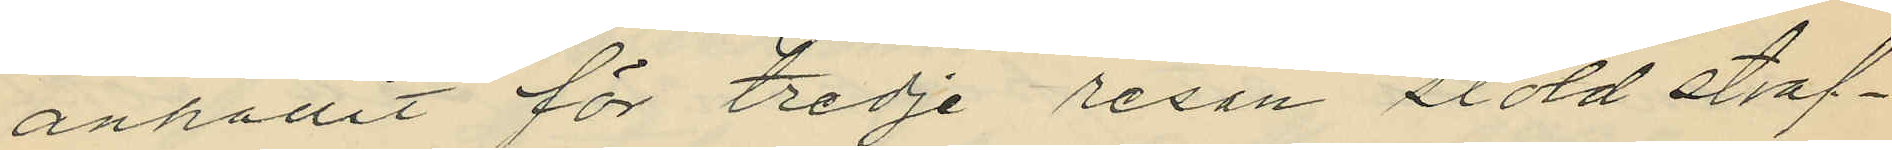anhållit för tredje resan stöd straf¬
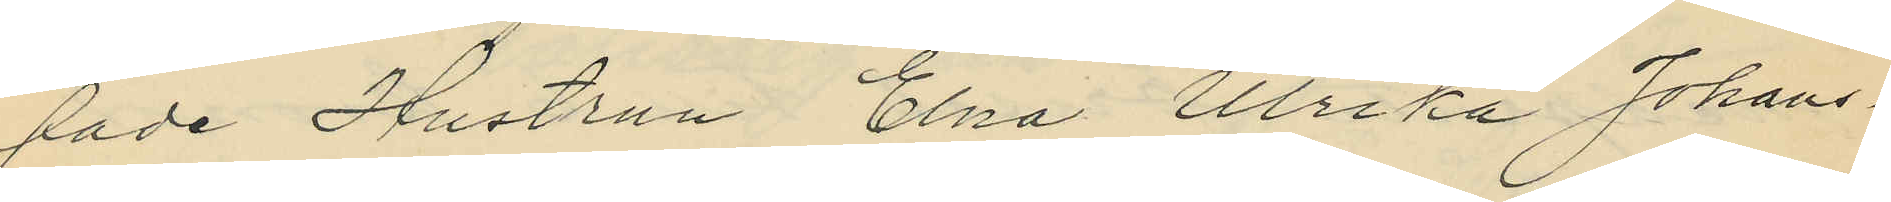fade Hustrun Elna Ulrika Johans¬
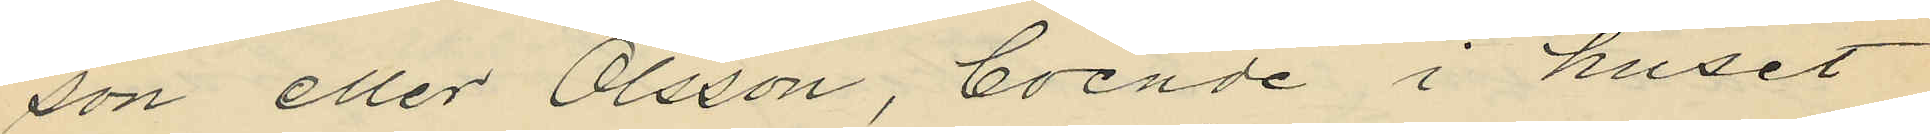son eller Olsson, boende i huset
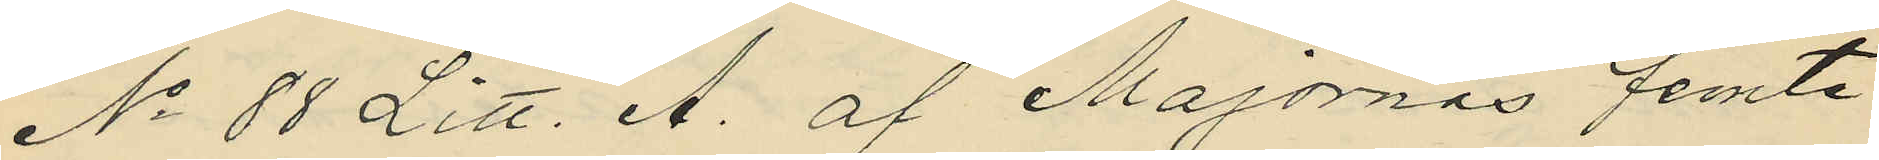No 88 Litt. A. af Majornas femte
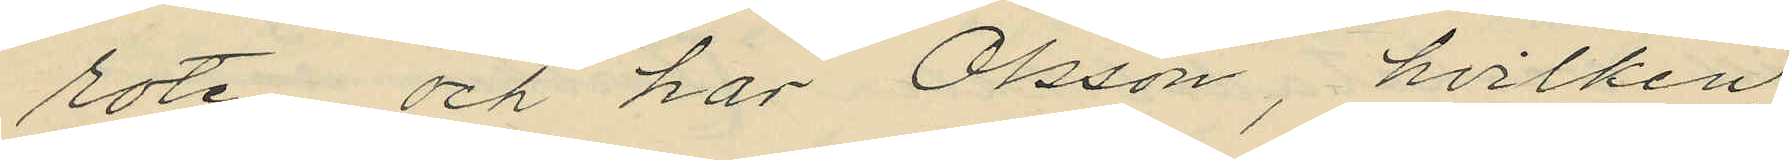rote, och har Olsson, hvilken
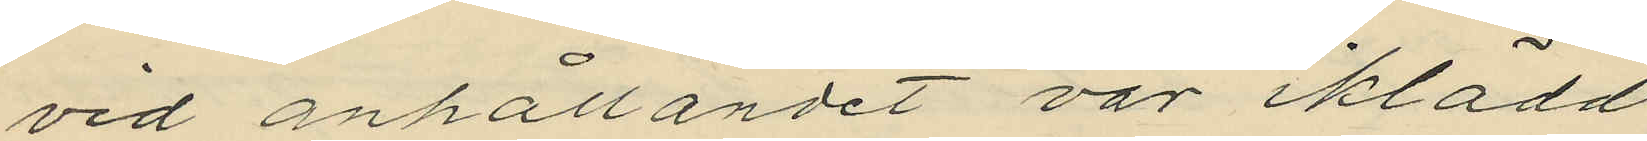vid anhållandet var iklädd
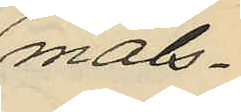måls¬
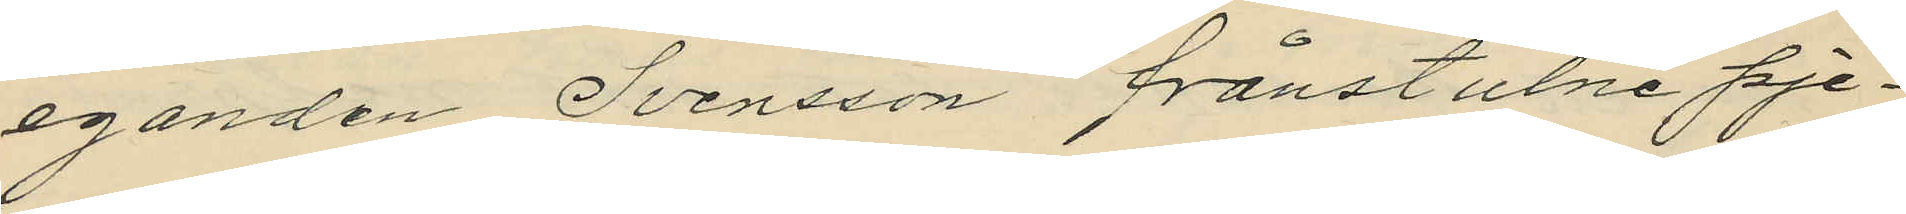eganden Svensson frånstulne pje¬
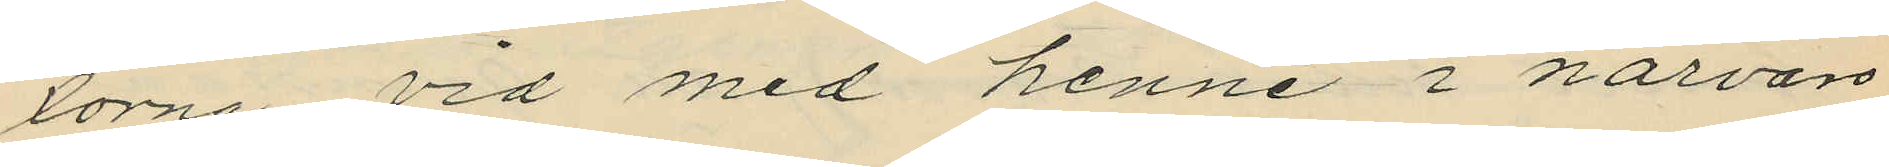xorna vid med henne i närvaro
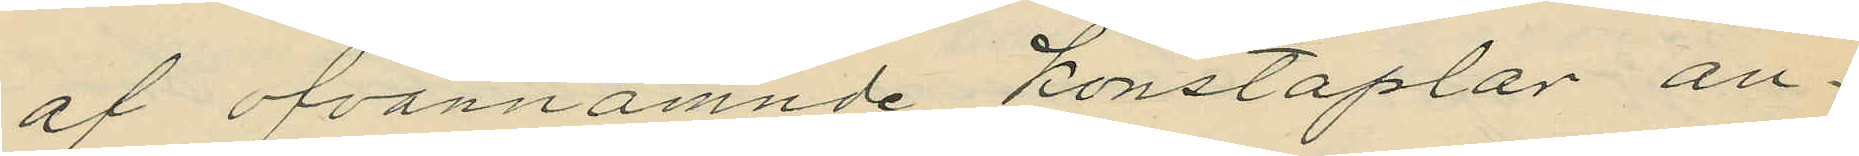af ofvannämnde konstaplar an¬
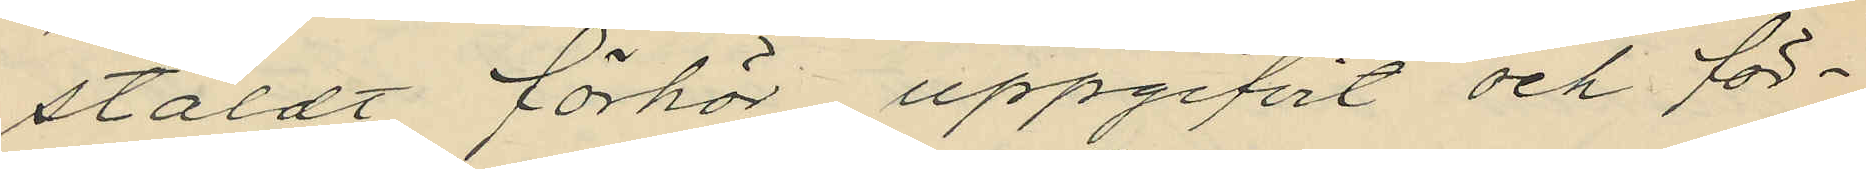stäldt förhör uppgifvit och för¬
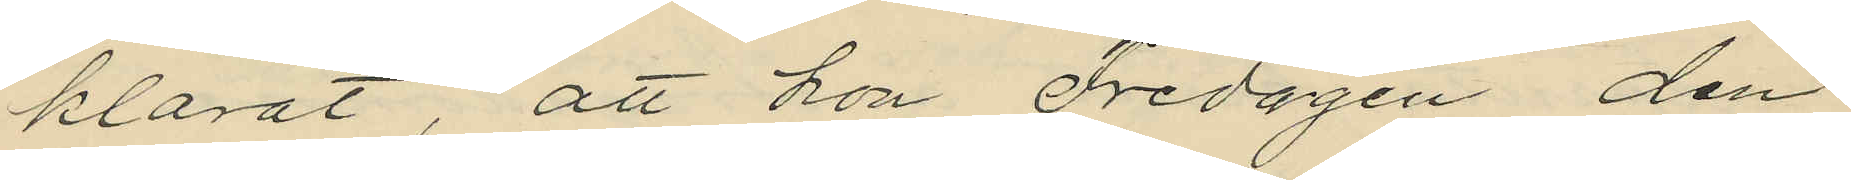klarat, att hon Fredagen den
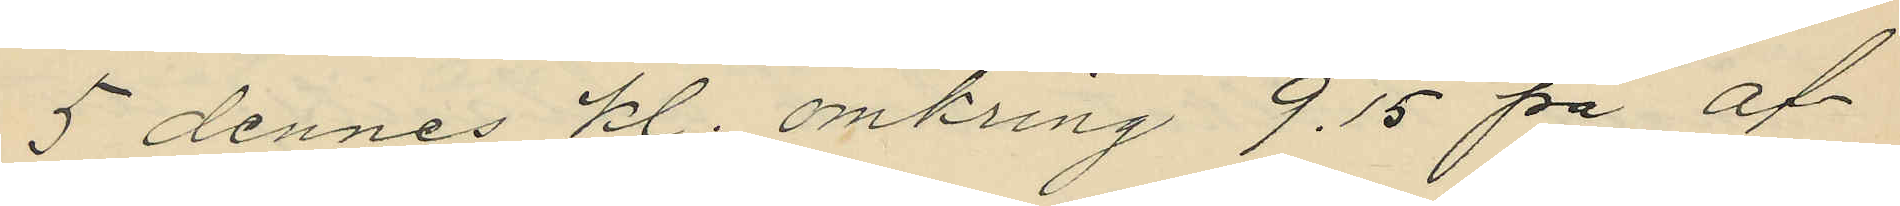5 dennes kl. omkring 9.15 på af¬
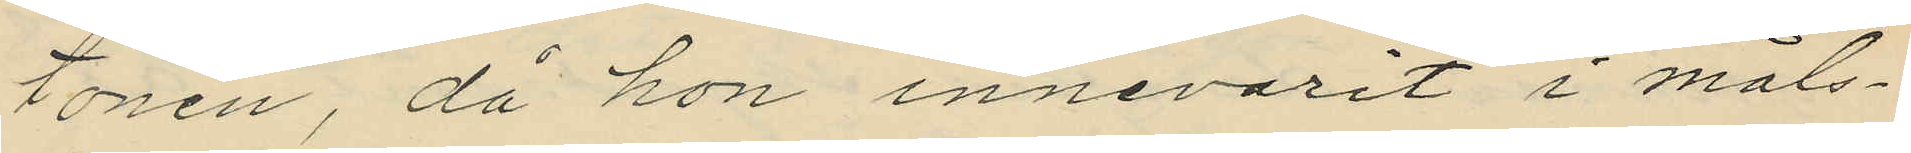tonen, då hon innevarit i måls¬
